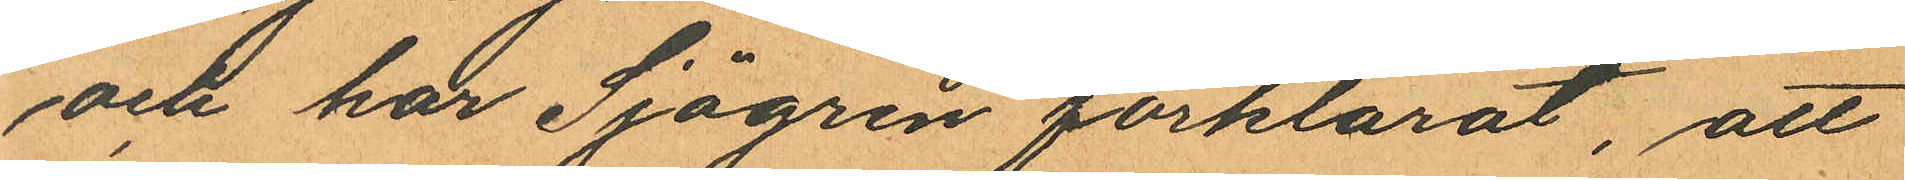och har Sjögren förklarat, att
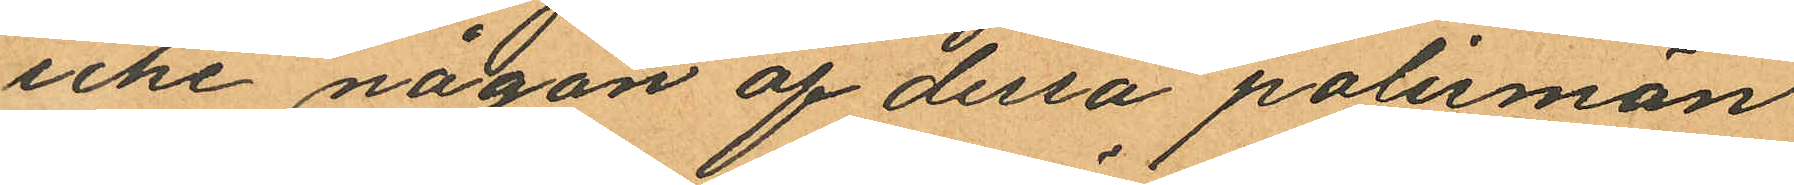icke någon af dessa polismän
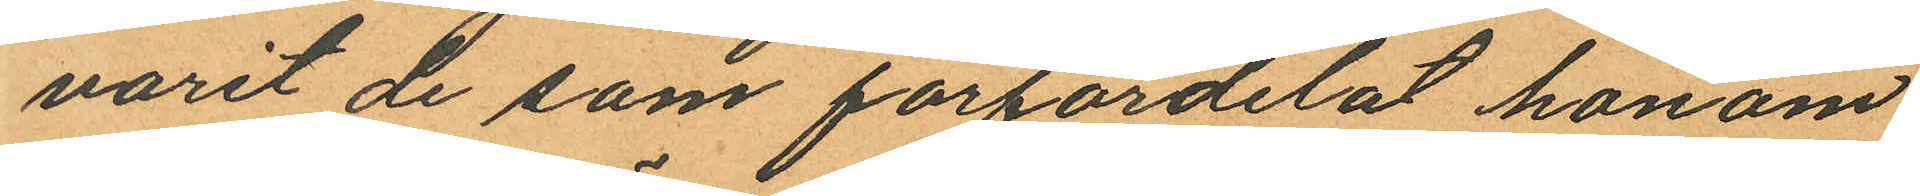varit de som förfördelat honom
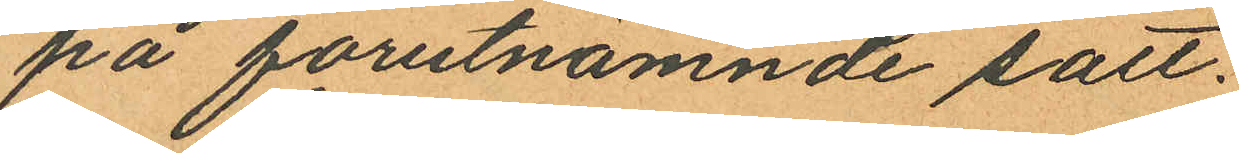på forutnämnde satt.
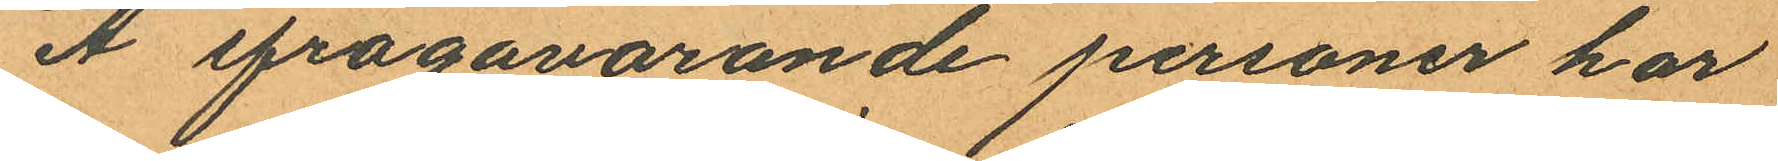Å ifrågavarande personer har
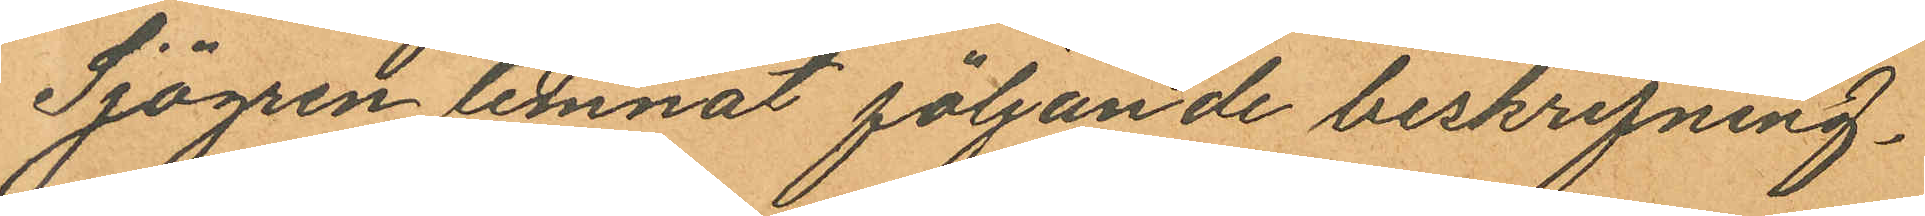Sjögren lemnat följande beskrifning.
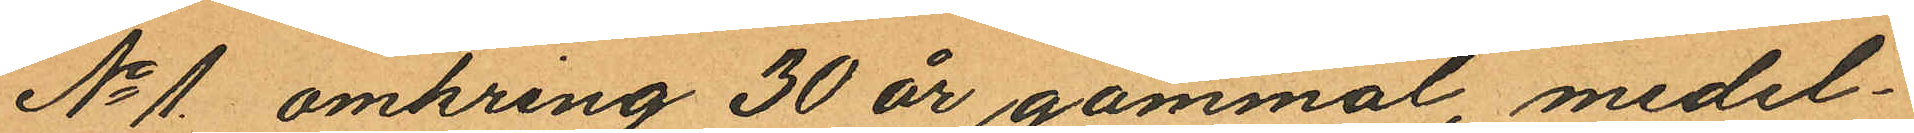No 1. omkring 30 år gammal, medel¬
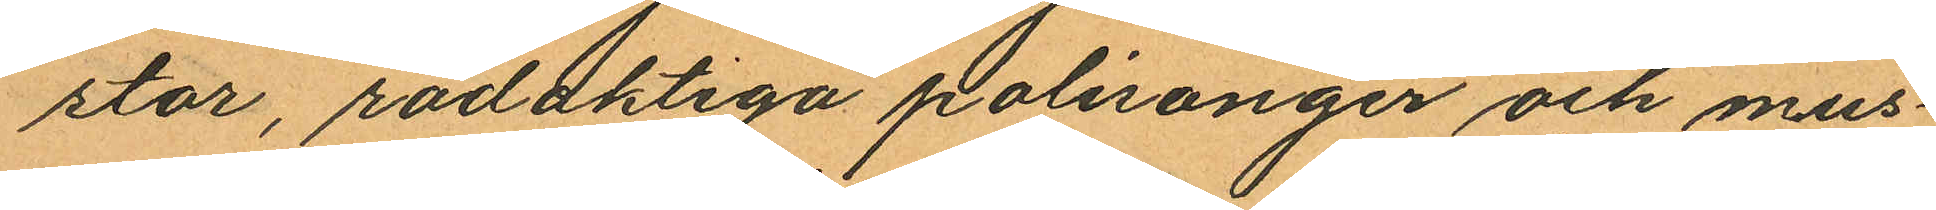stor, rödaktiga polisonger och mus
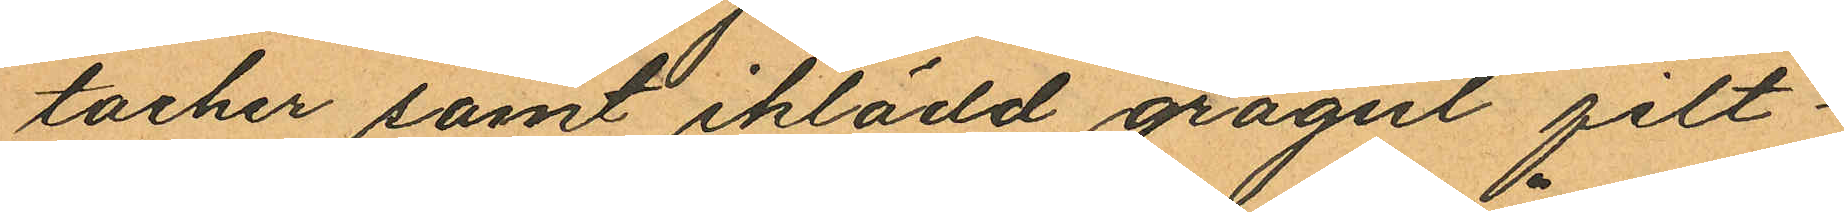tacher samt iklädd grågul filt¬
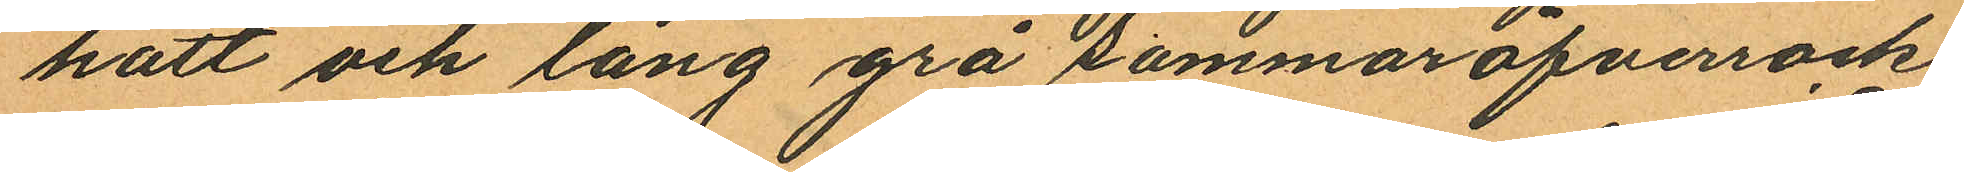hatt och lång grå sommaröfverrock och
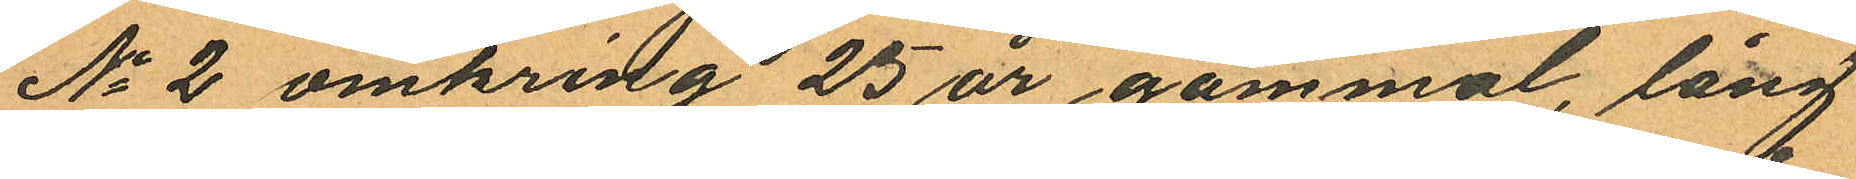No 2 omkring 25 år gammal, lång
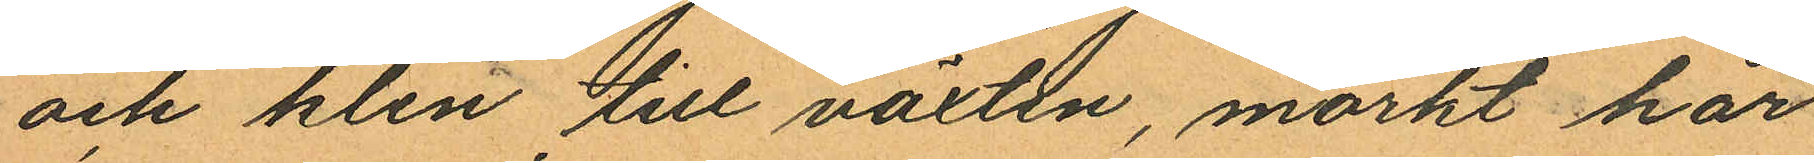och klen till växten, mörkt hår
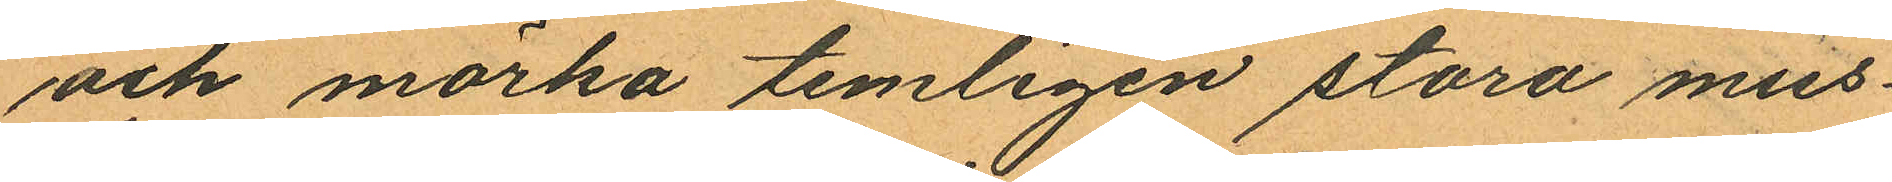och mörka temligen stora mus¬
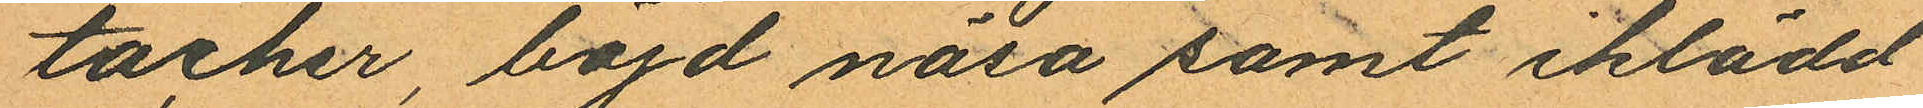tacher, böjd näsa samt iklädd
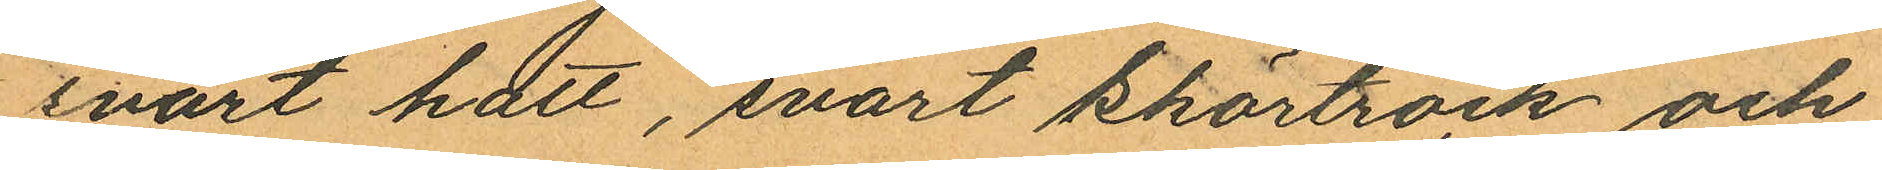svart hatt, svart skörtrock och
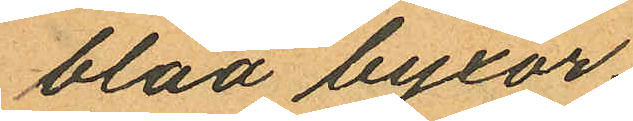blåa byxor.
